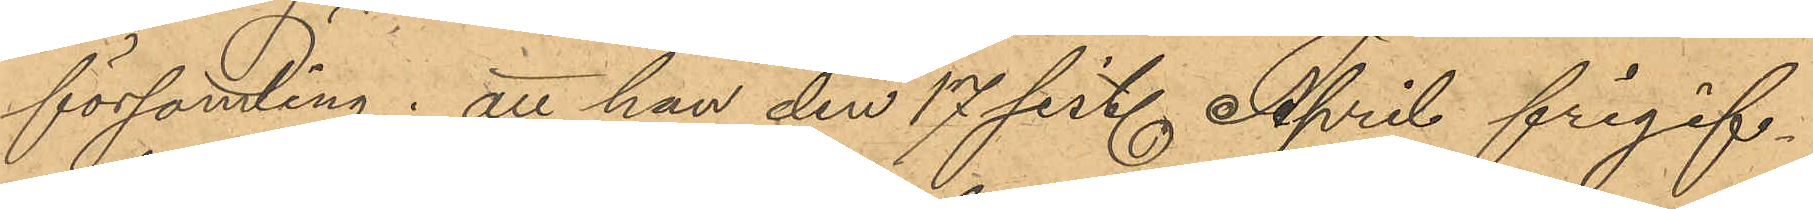församling; att han den 17 sist. April frigif¬
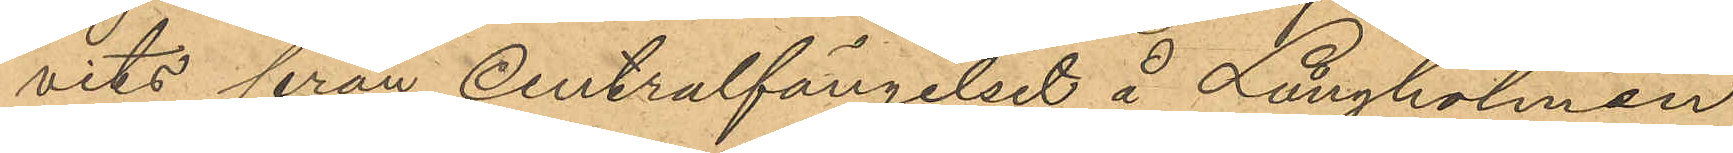vits från Centralfängelset å Långholmen
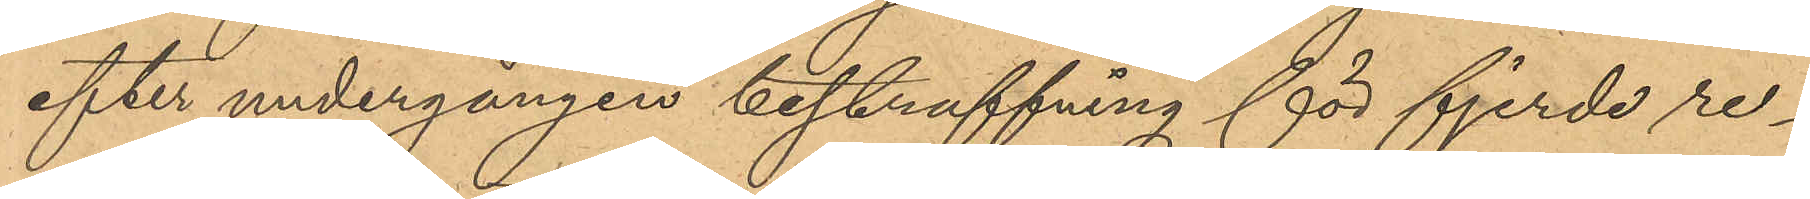efter undergången bestraffning för fjerde re¬
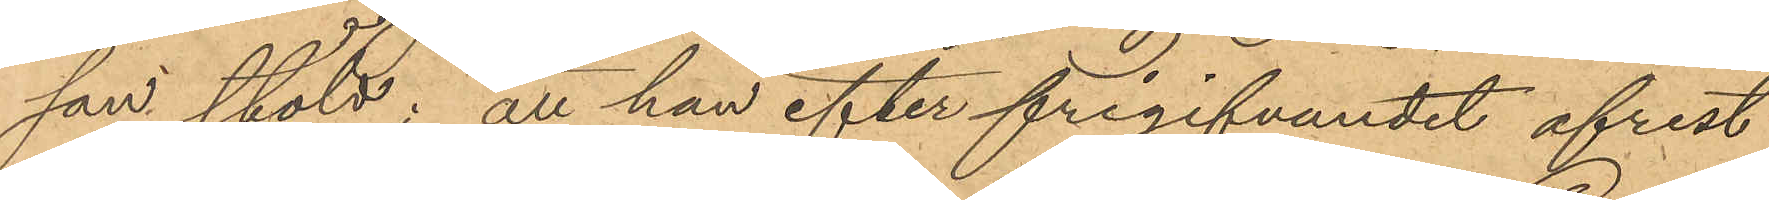san stöld; att han efter frigifvandet afrest
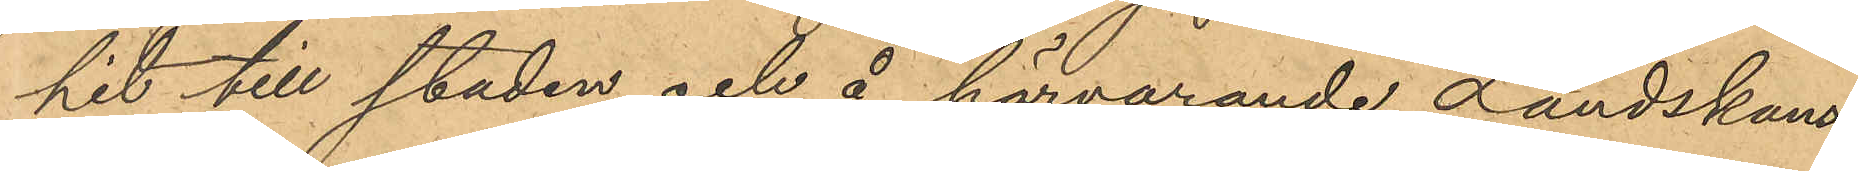hit till staden och å härvarande Landskans¬
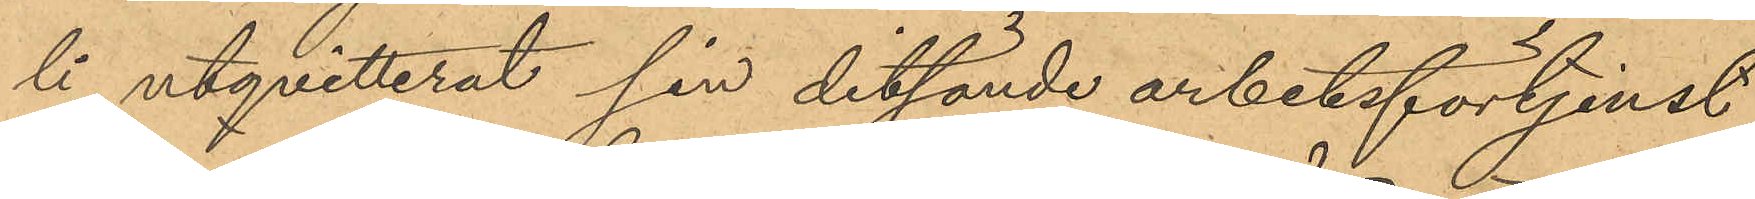li utqvitterat sin ditsände arbetsförtjenst,
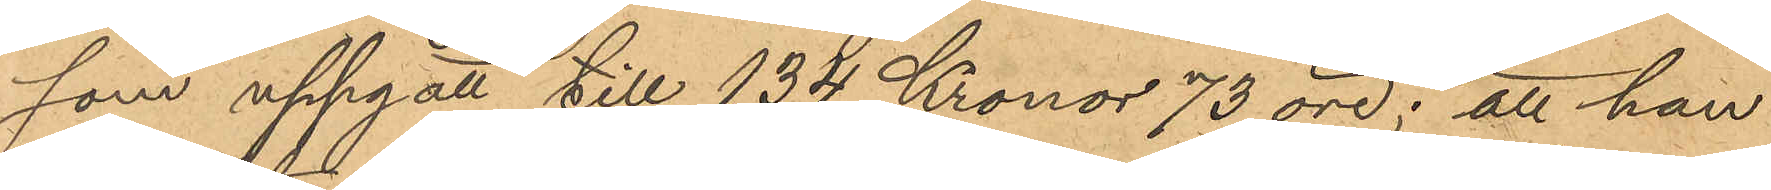som uppgått till 134 Kronor 73 öre; att han
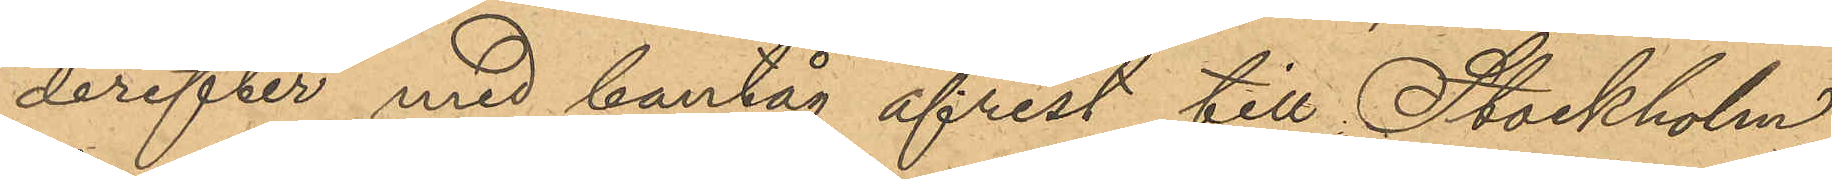derefter med bantåg afrest till Stockholm,
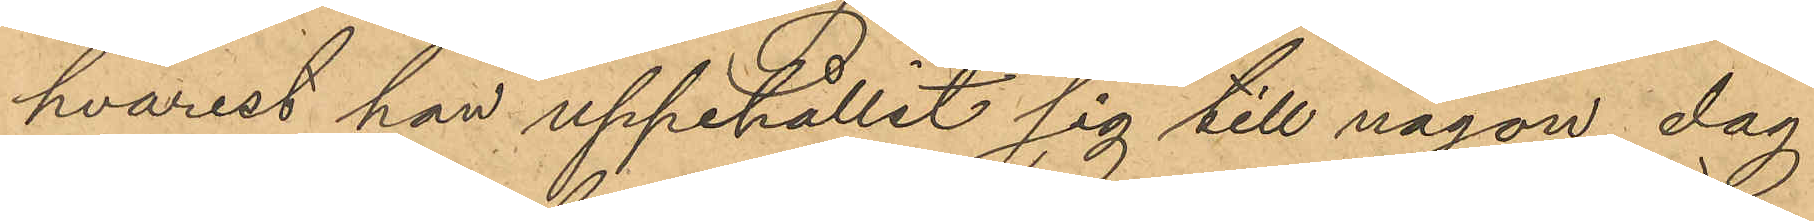hvarest han uppehållit sig till någon dag
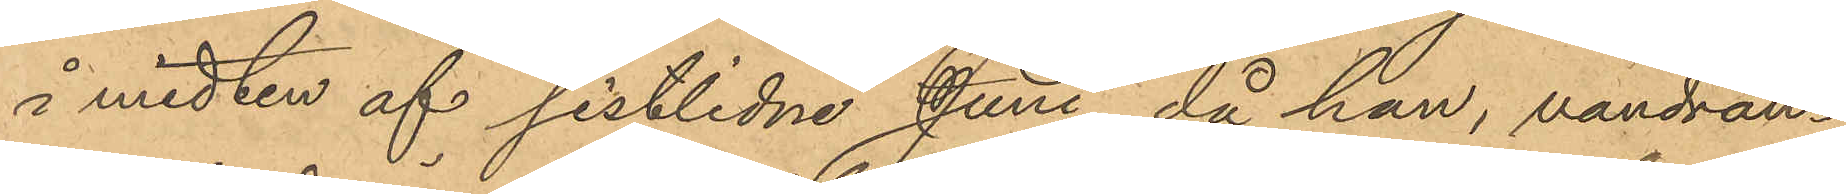å midten af sistlidne Juni, då han, vandran¬
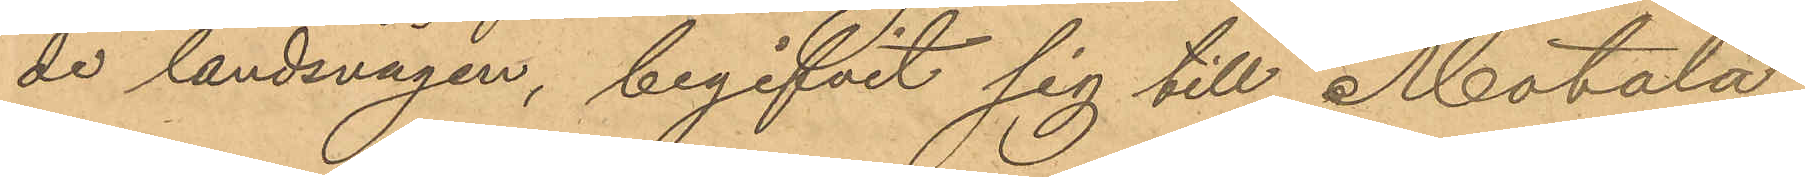de landsvägen, begifvit sig till Motala,
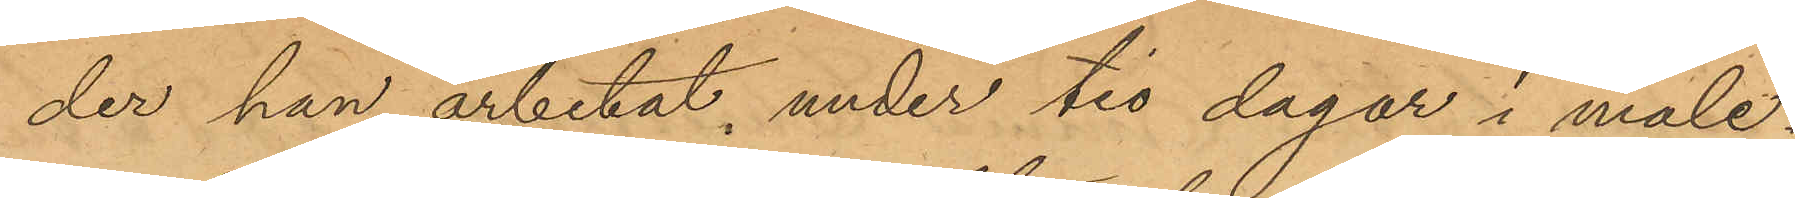der han arbetat under tio dagar i måle¬
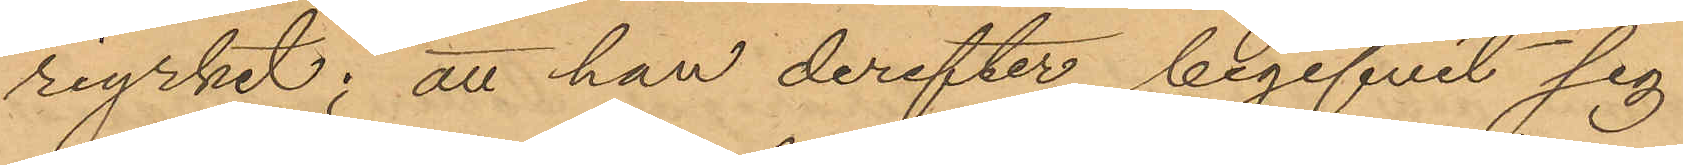riyrket; att han derefter begifvit sig
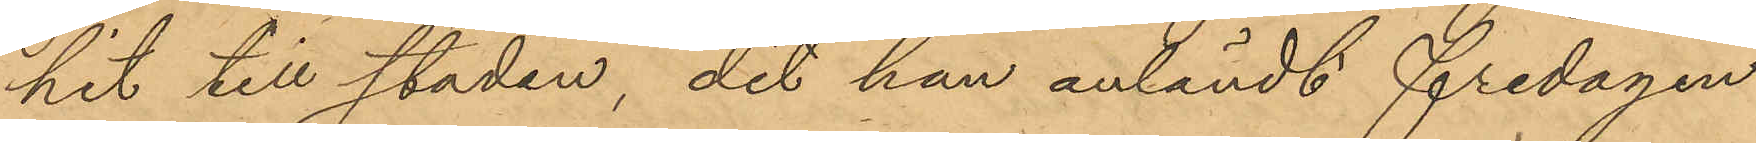hit till staden, dit han anländt fredagen
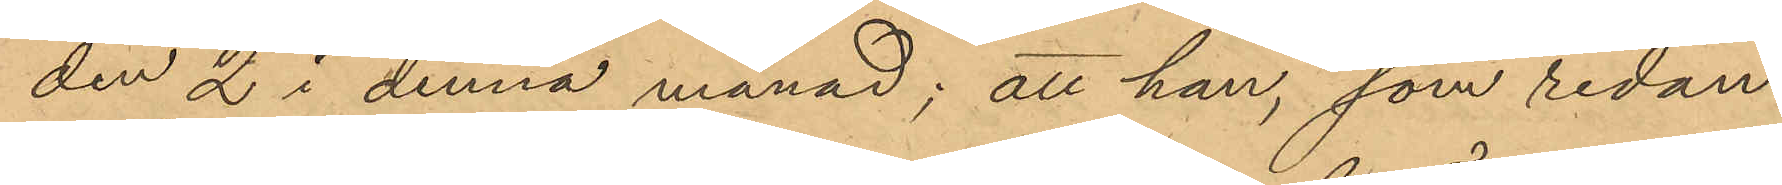den 2 i denna månad; att han, som redan
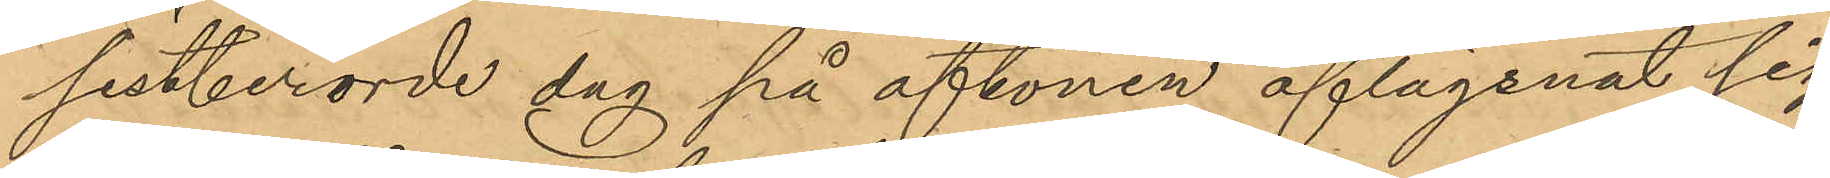sistberörde dag på aftonen aflägsnat sig
